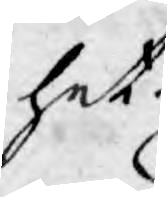het.
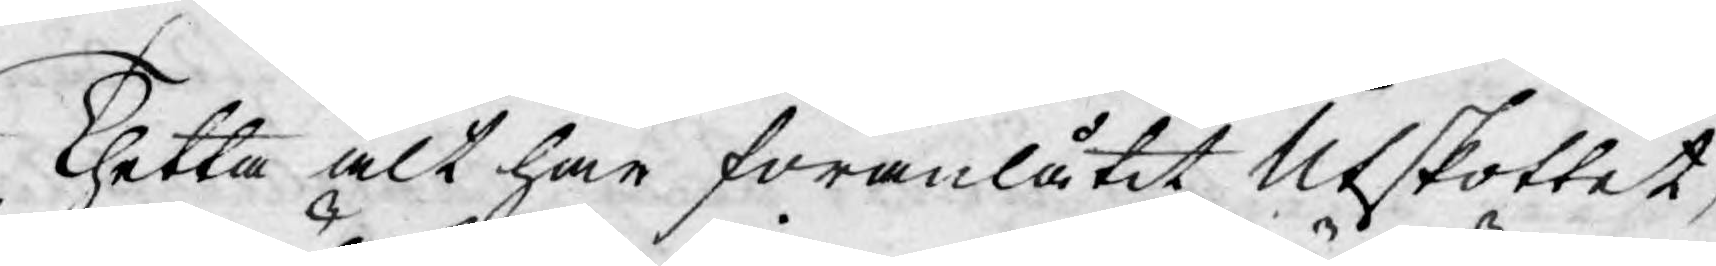Thetta alt har föranlåtit Utskottet,
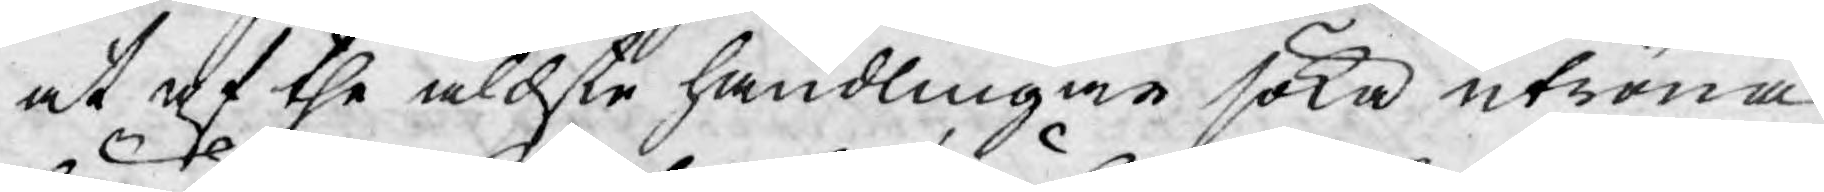at af the äldste handlingar söka utröna,
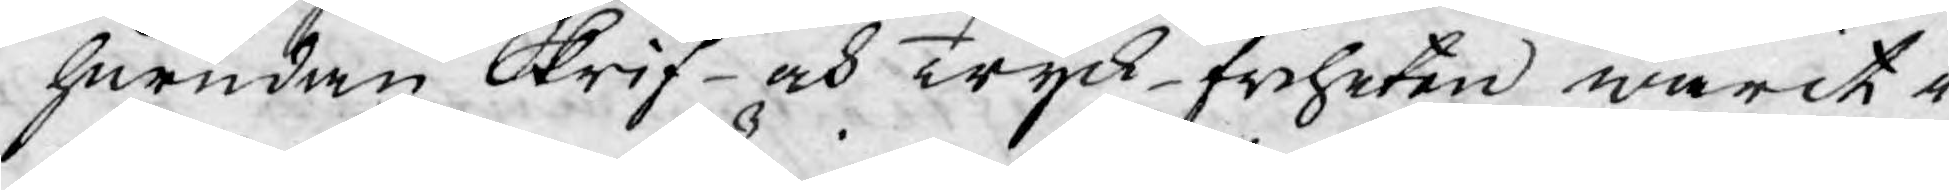hurudan Skrif- och Tryck-friheten warit i
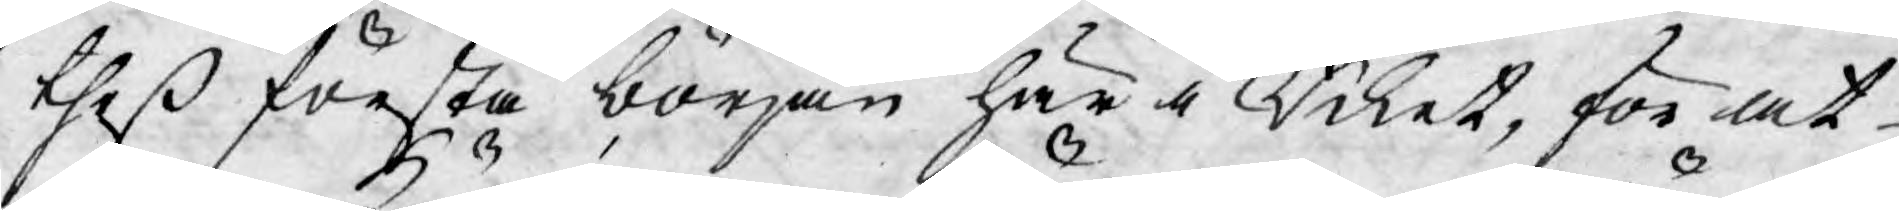theß första början här i Riket, för at
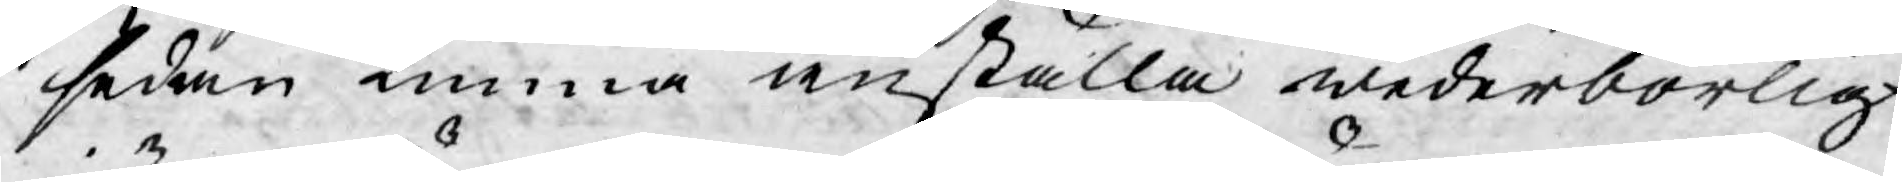sedan kunna anställa wederbörlig
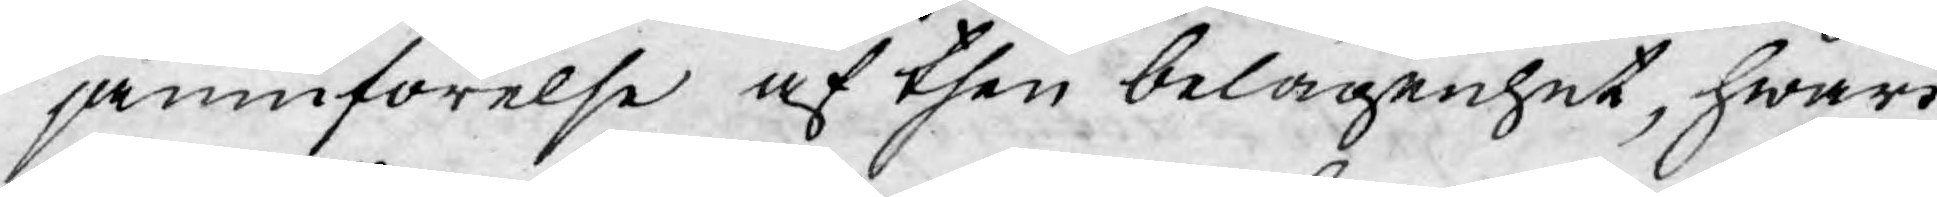jämnförelse af then belägenhet, hwari
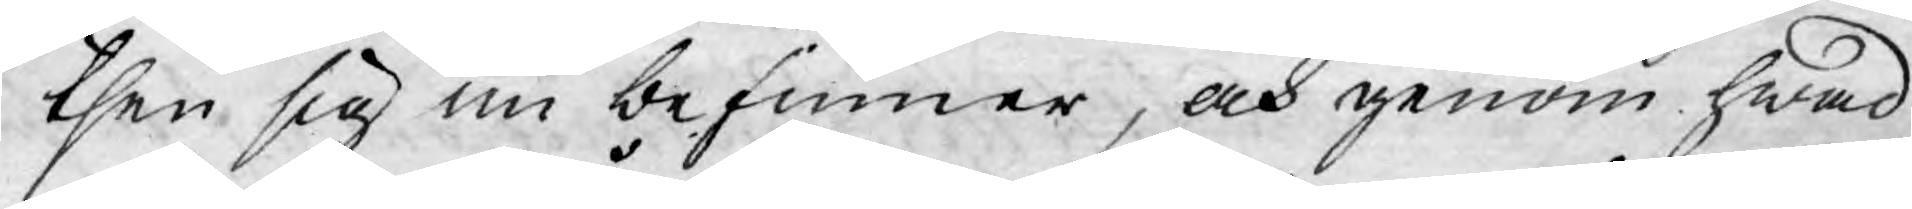then sig nu befinner, och genom hwad
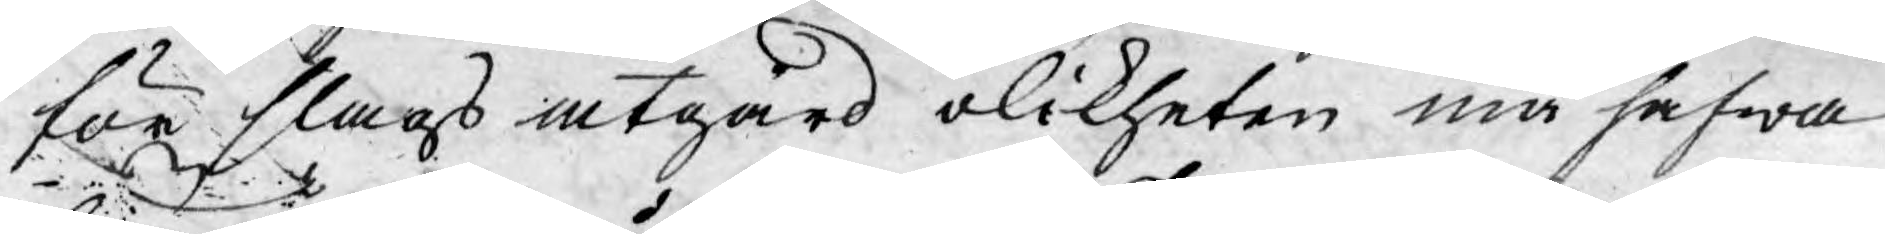för slags åtgärd olikheten må hafwa
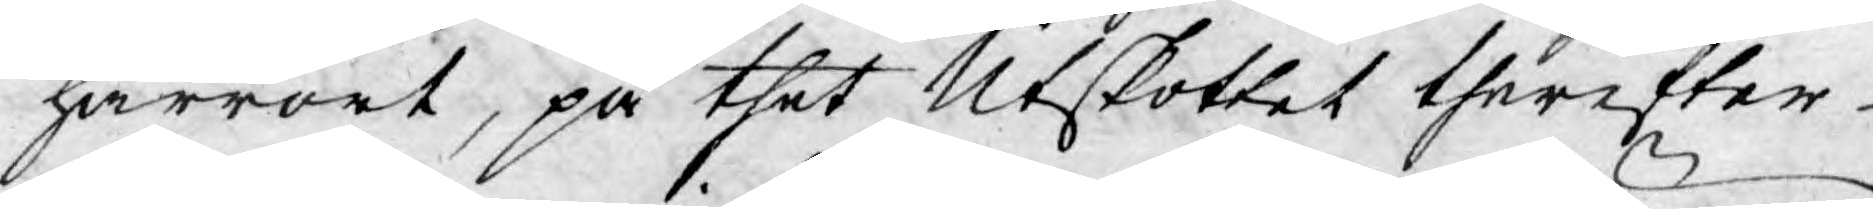härrört, på thet Utskottet therefter
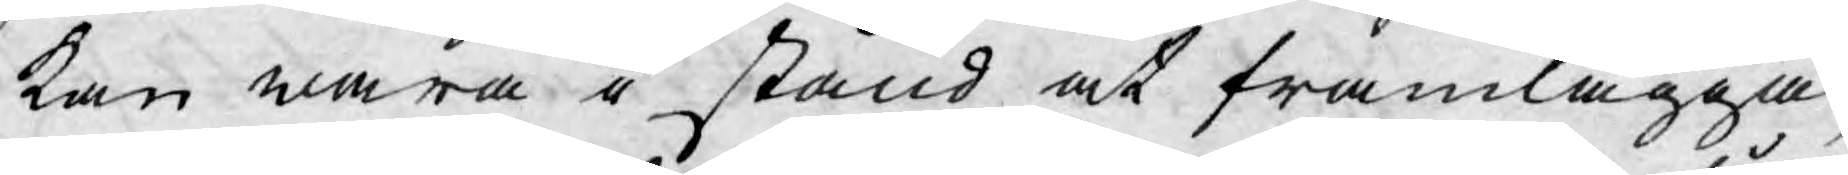kan wara i stånd at framlägga,
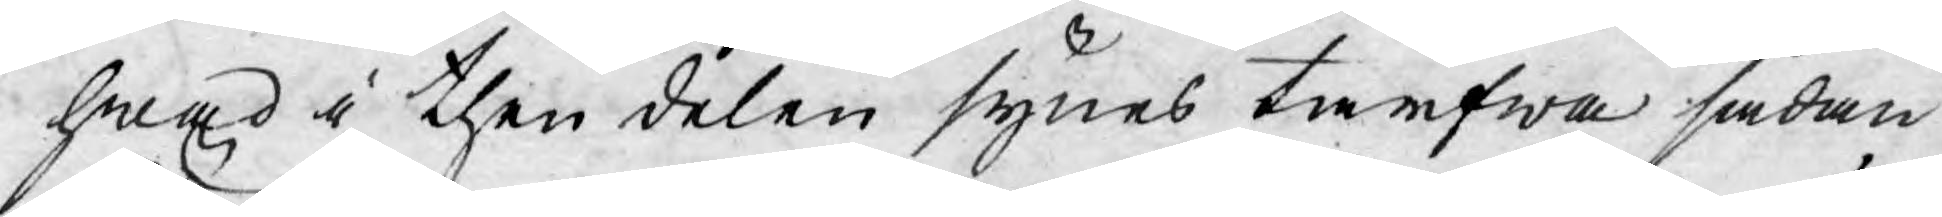hwad i then delen synes tarfwa sådan
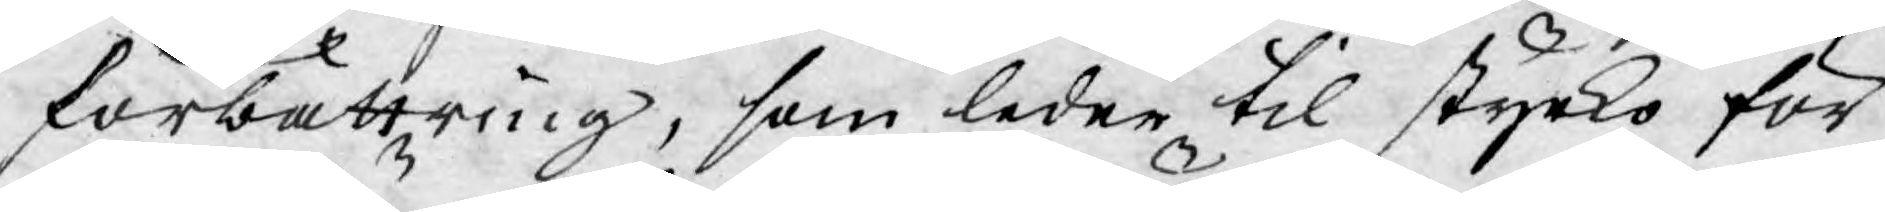förbättring, som leder til styrko för
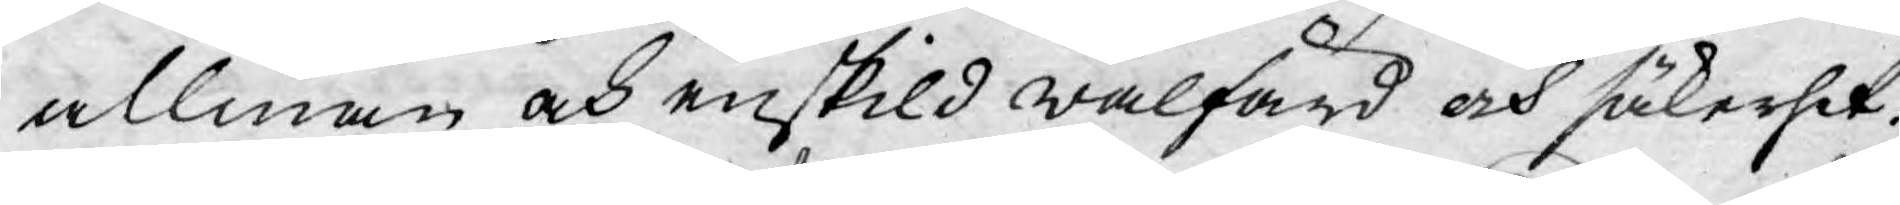allmän och enskild wälfärd och säkerhet.
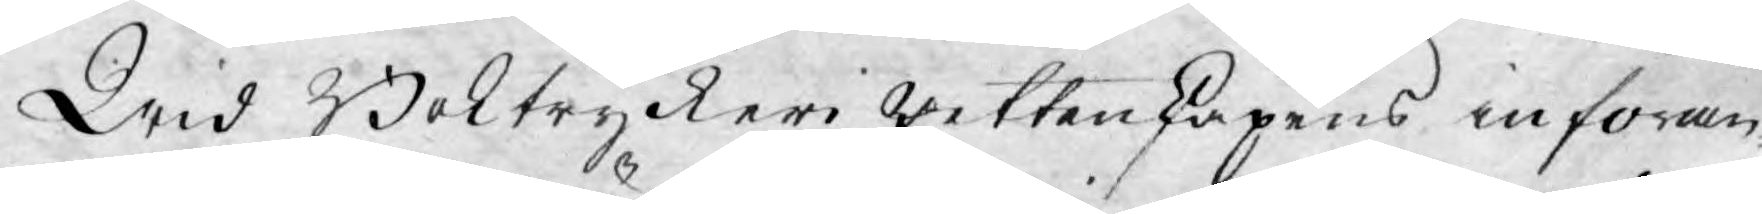Wid Boktryckeri wettenskapens införan-
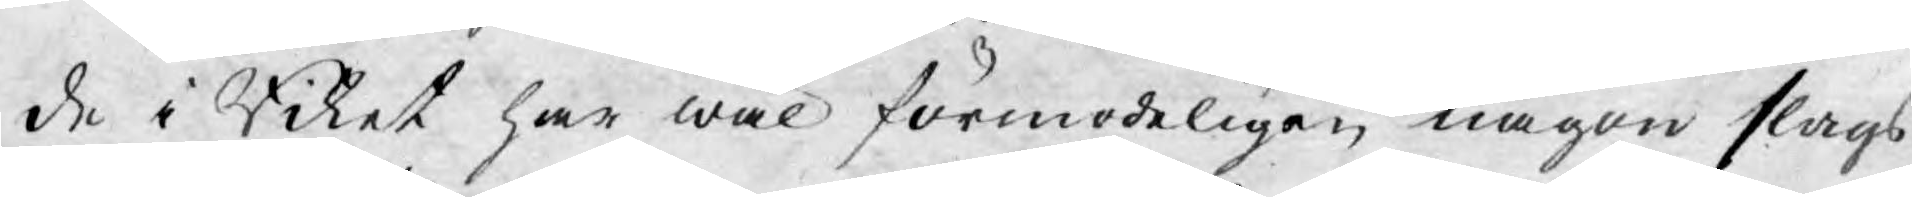de i Riket har wäl förmodeligen någon slags
